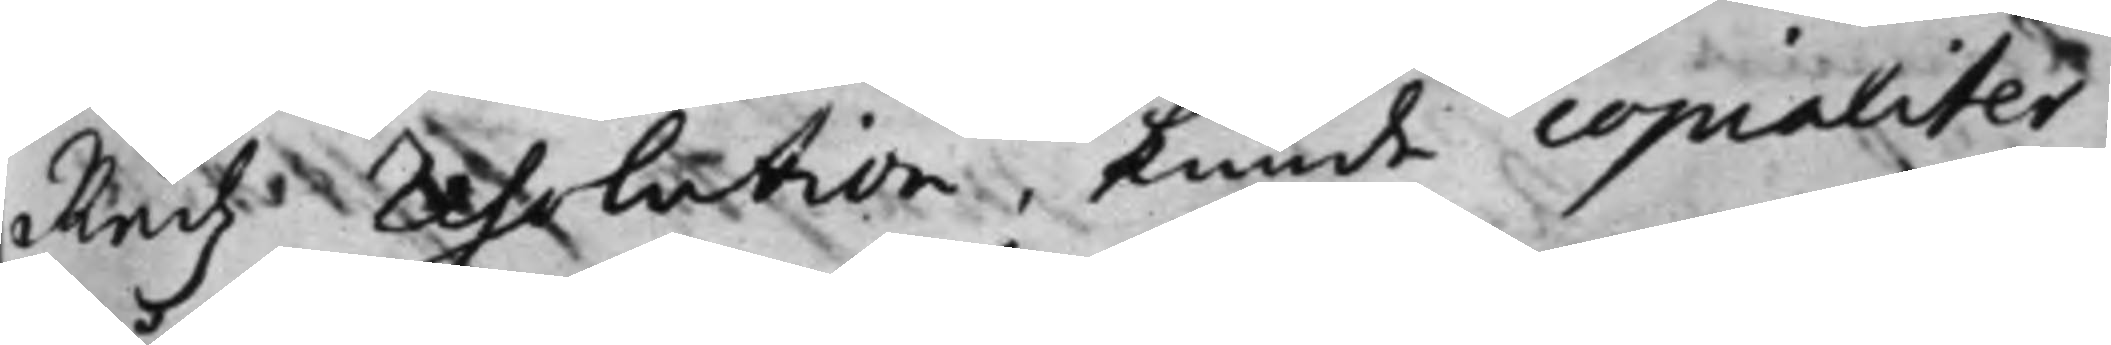Rådz: resolution, kunde copialiter
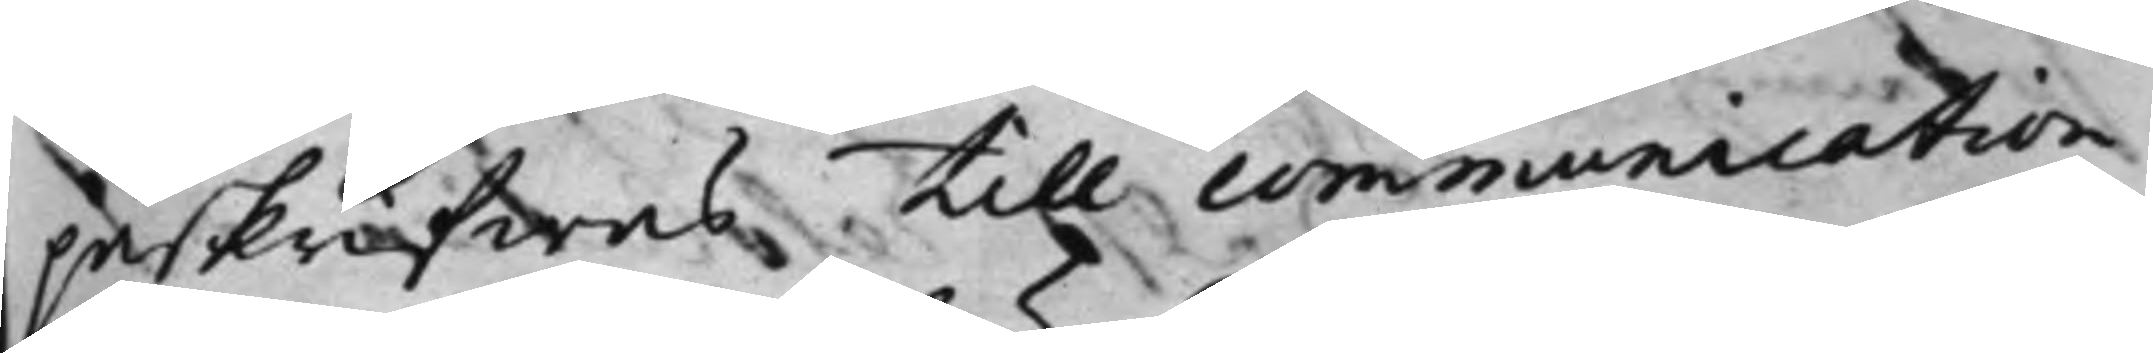påskrifwas till communication
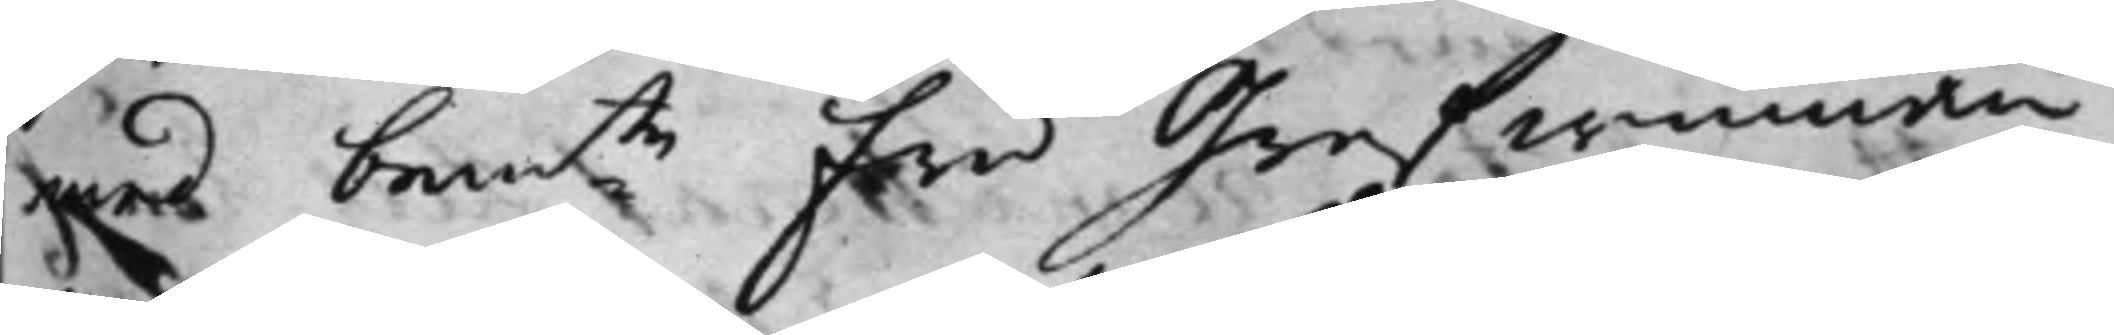med bemte fru Grefwinnan
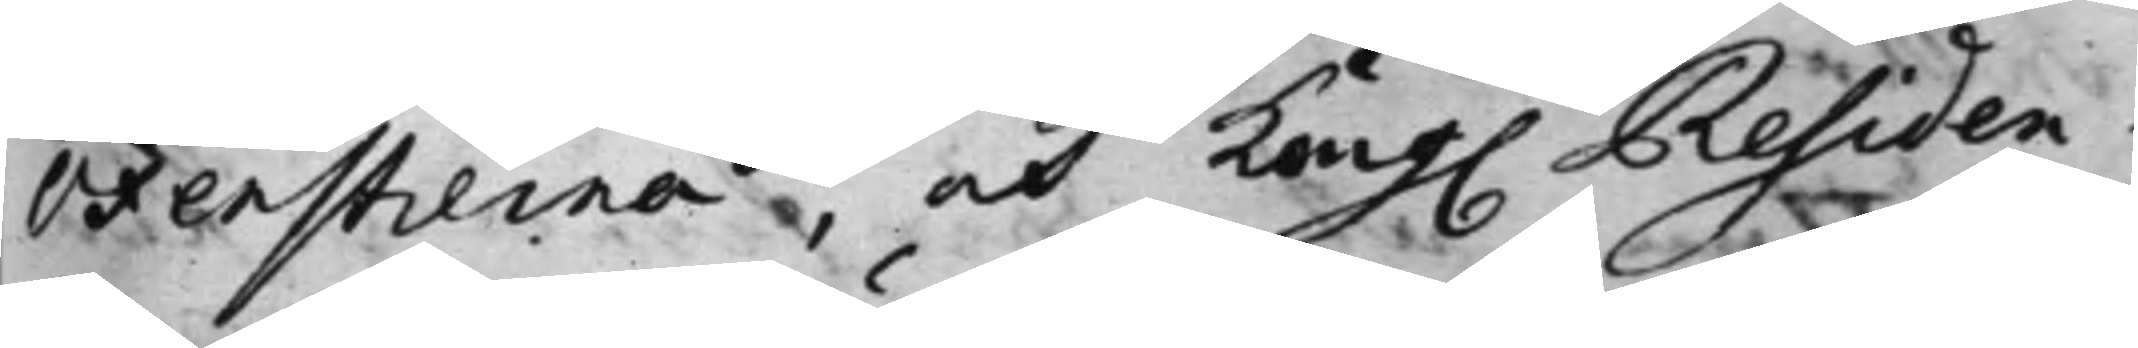Oxenstierna, och Kong. Residen¬
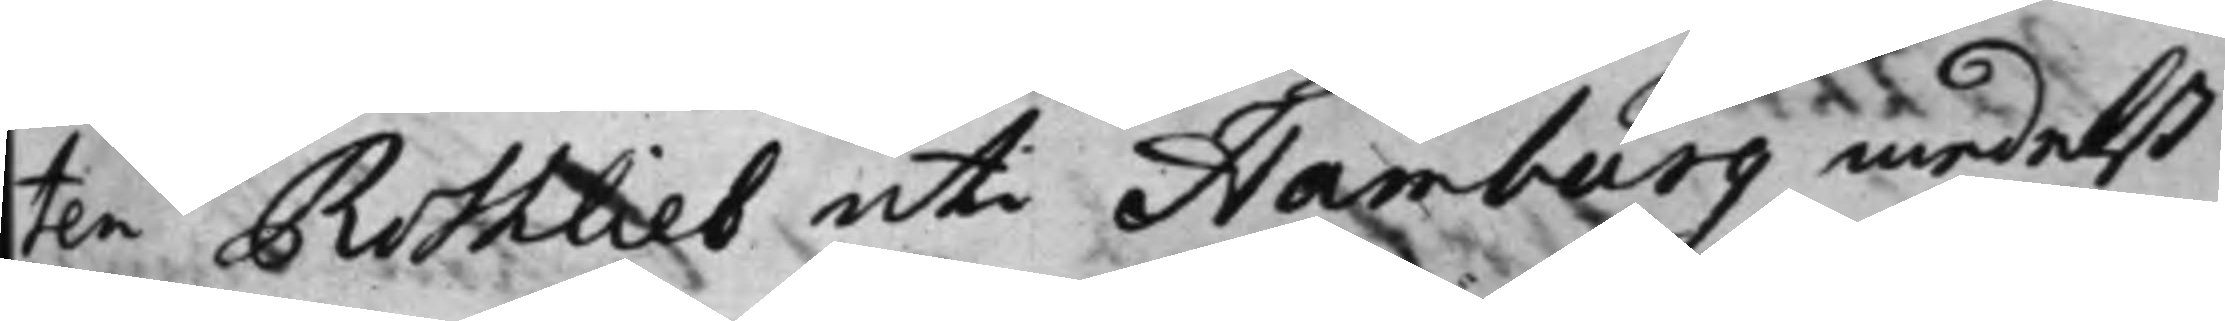ten Rothlieb uti Hamburg medelst
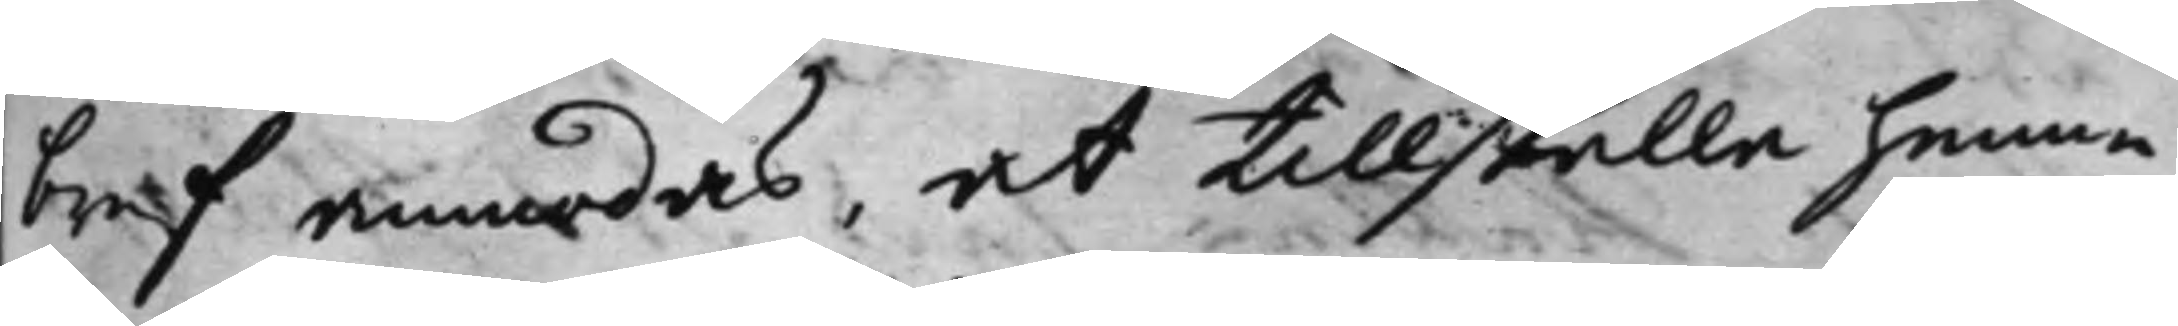bref anmodas, at tillställa henne
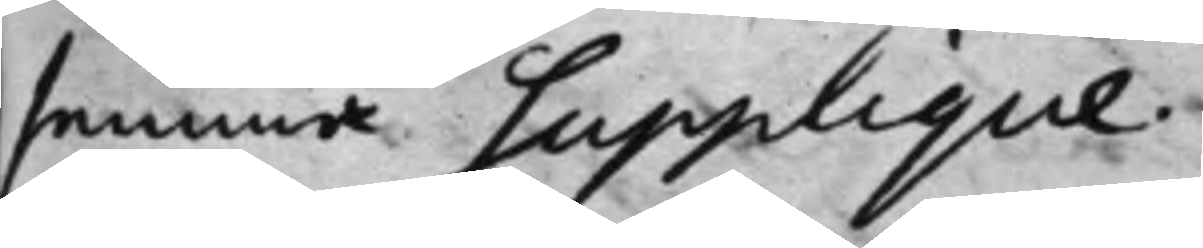samma supplique.
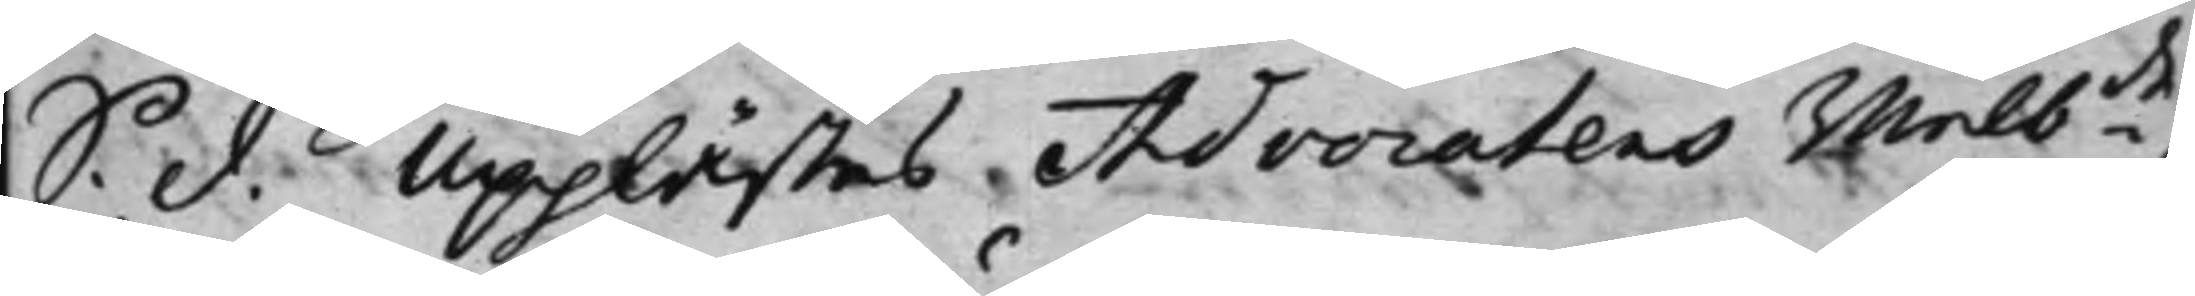S. d. Upplästes Advocatens wälbde
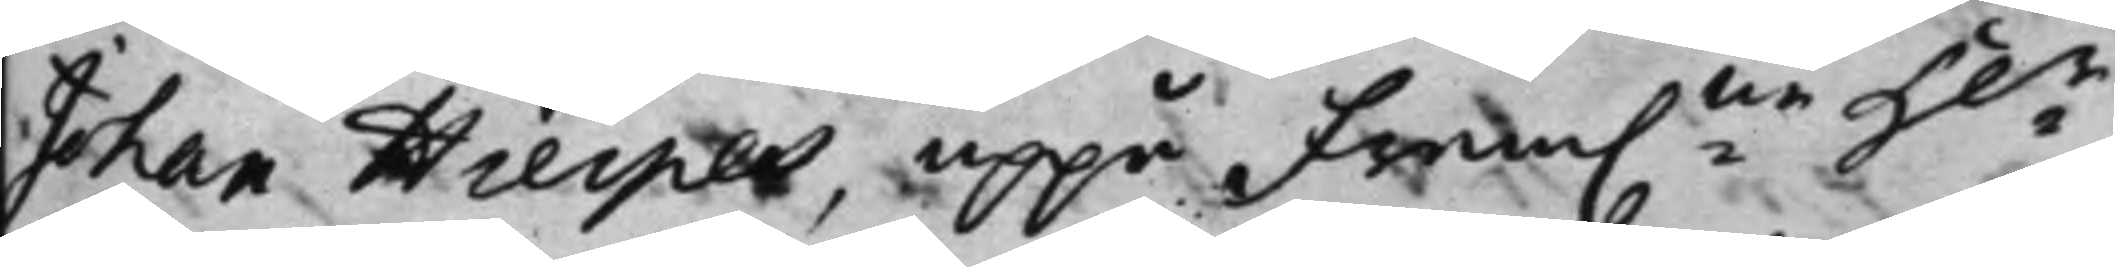Johan Hierpes, uppå fram.ne H.r
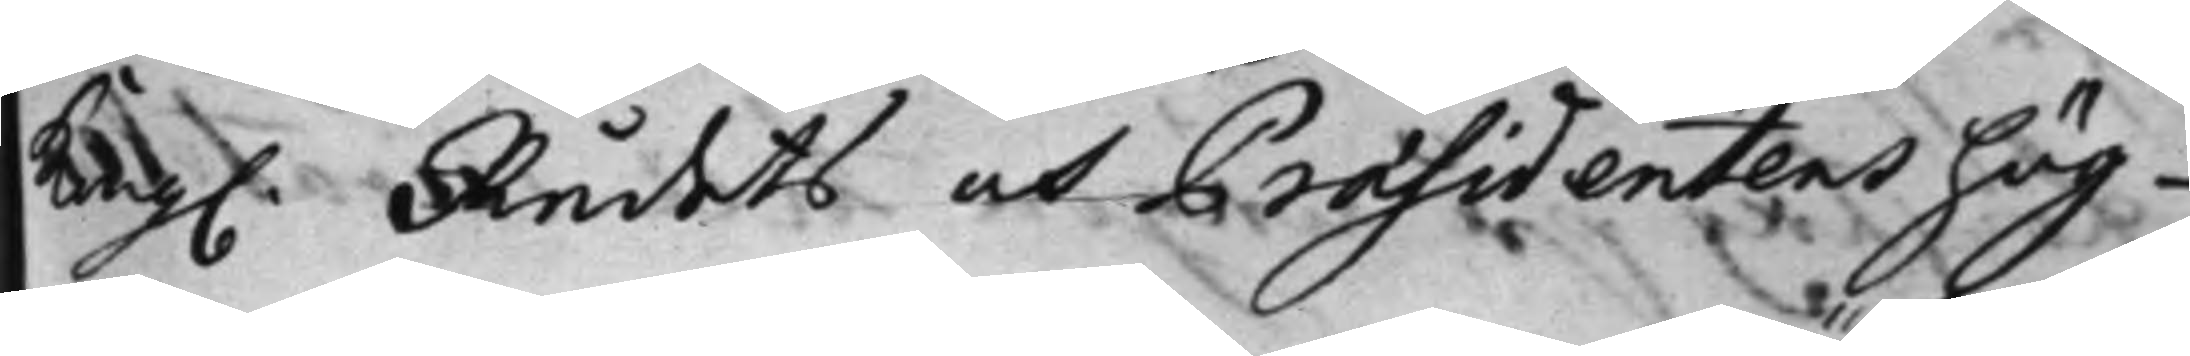Kong. Rådets och Präsidentens hög¬
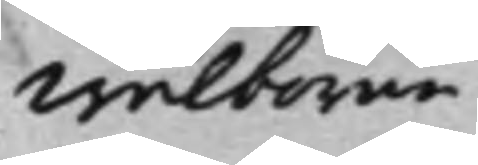wälborne
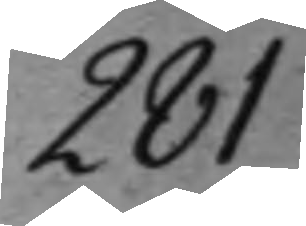281
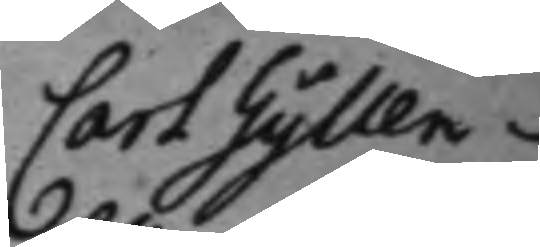Carl Gyllen¬
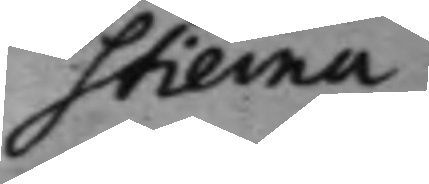stierna
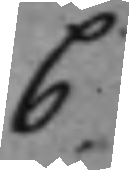C.
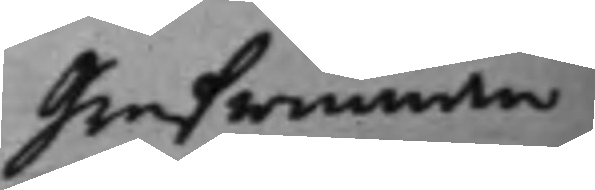Grefwinnan
